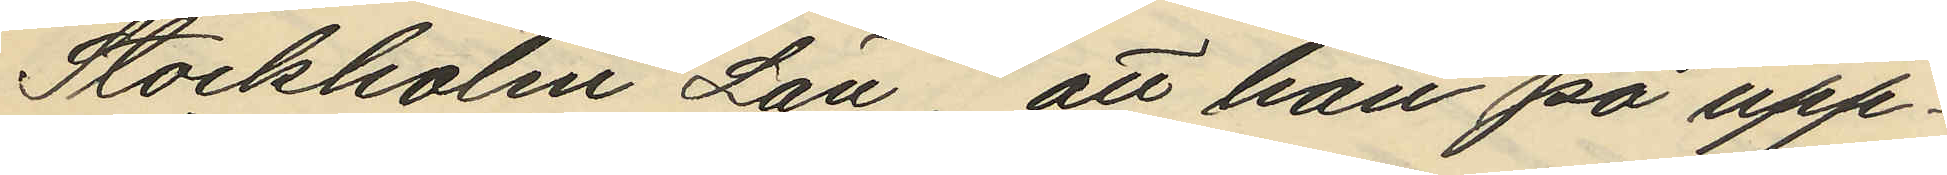Stockholm Län, att han på upp¬
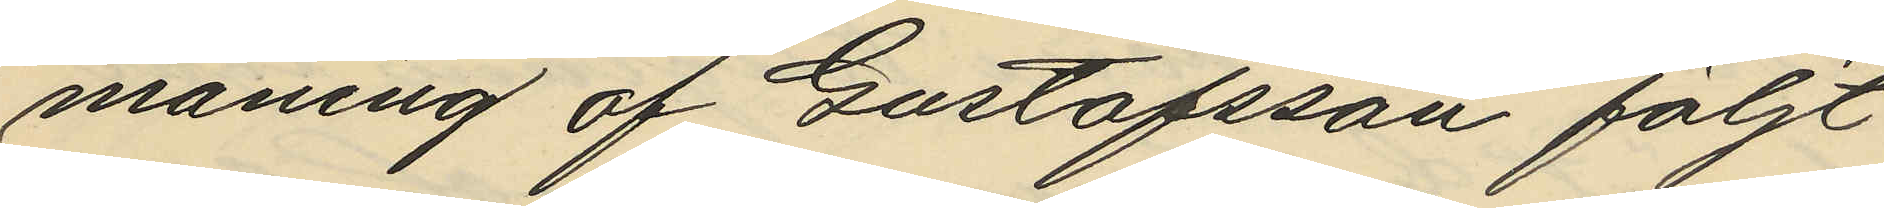maning af Gustafsson följt
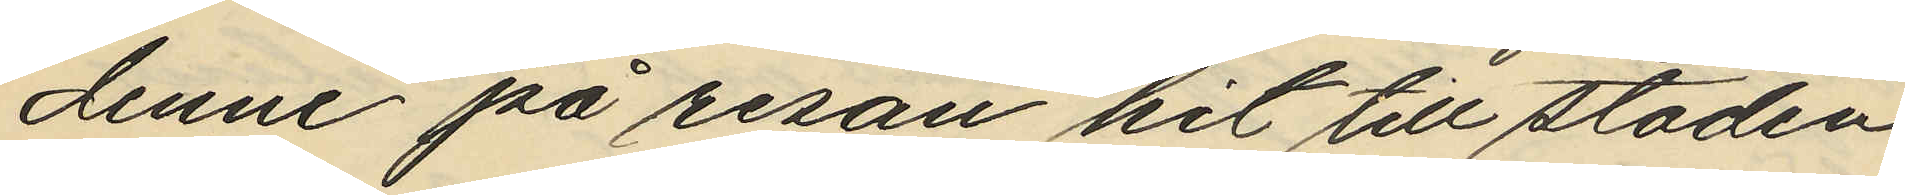denne på resan hit till staden
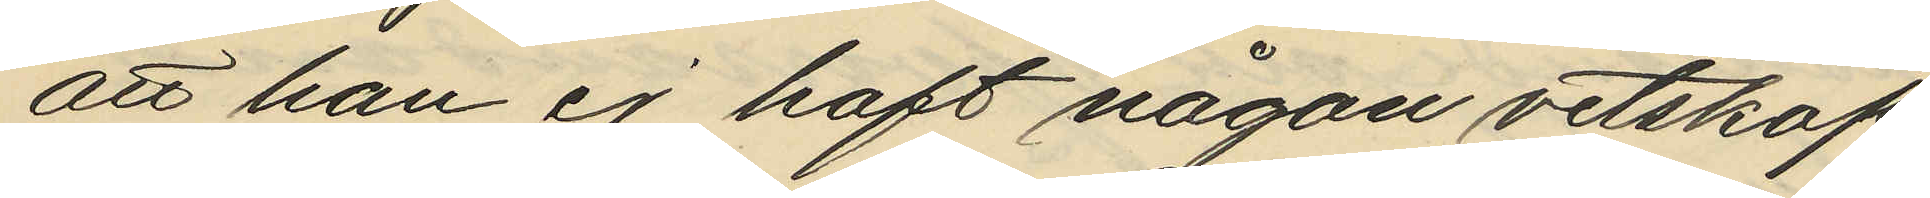att han ej haft någon vetskap
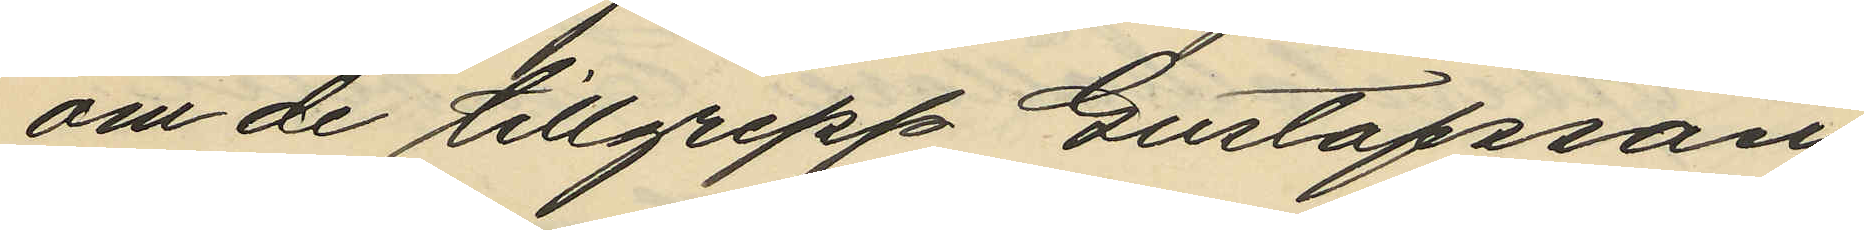om de tillgrepp Gustafsson
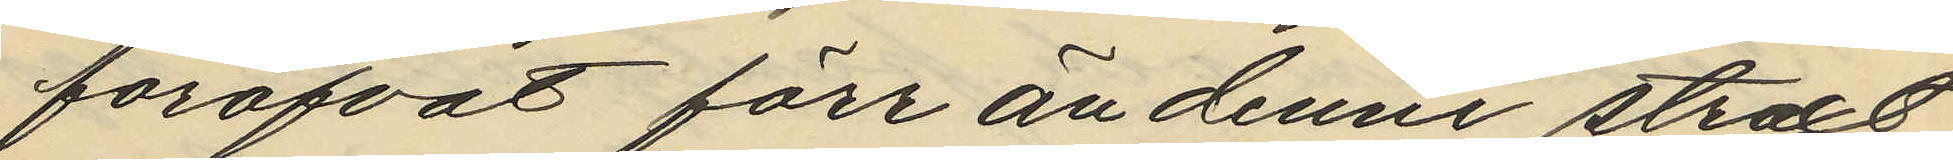föröfvat förr än denne straxt
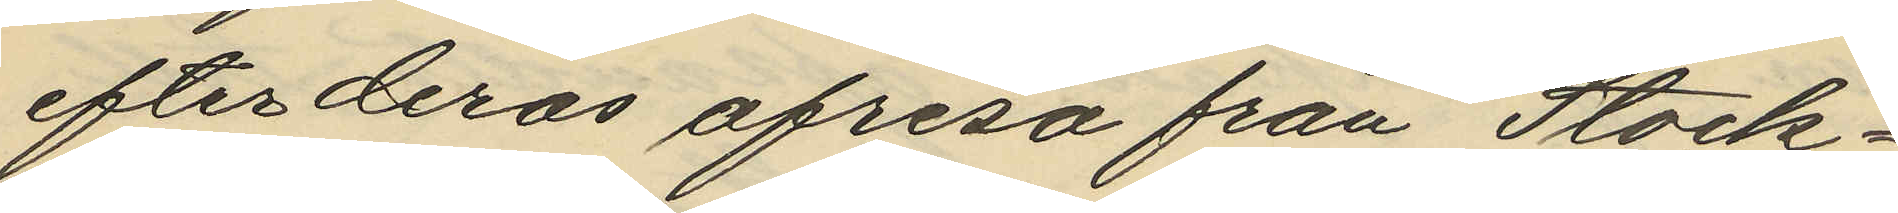efterderas afresa från Stock¬
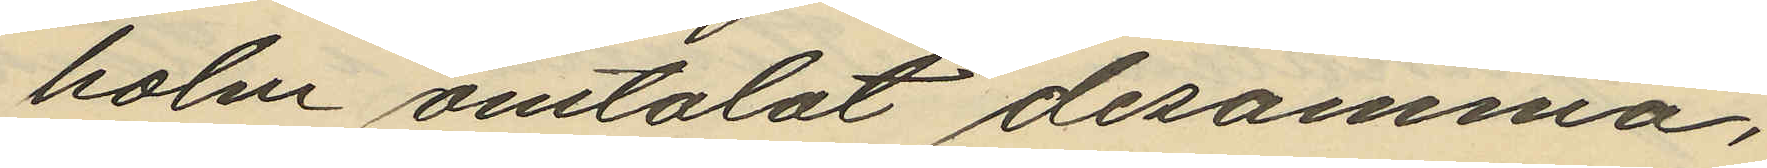holm omtalat desamma,
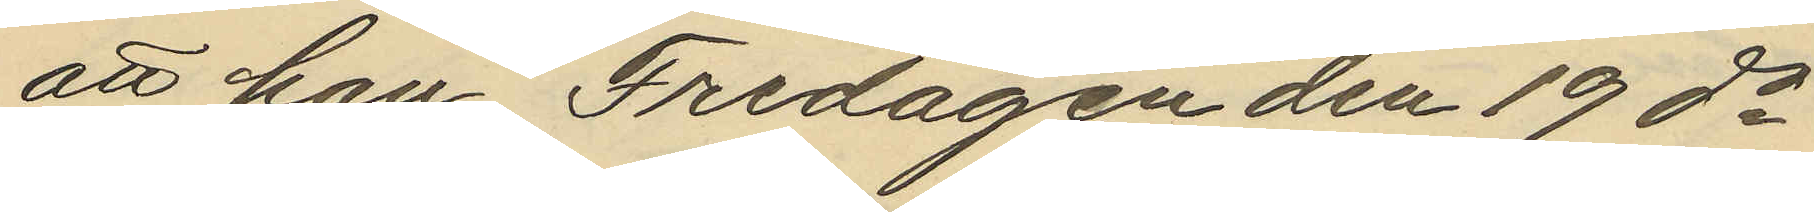att han Fredagen den 19 ds
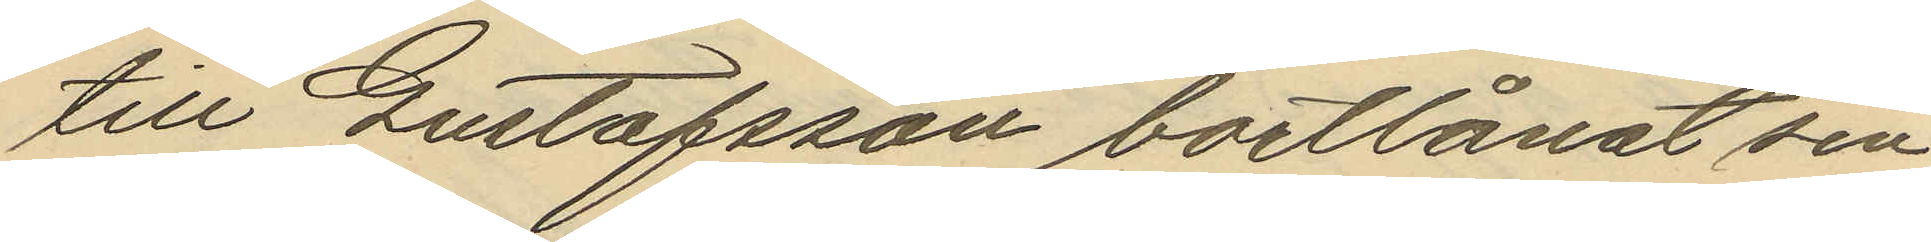till Gustafsson bortlånat sin
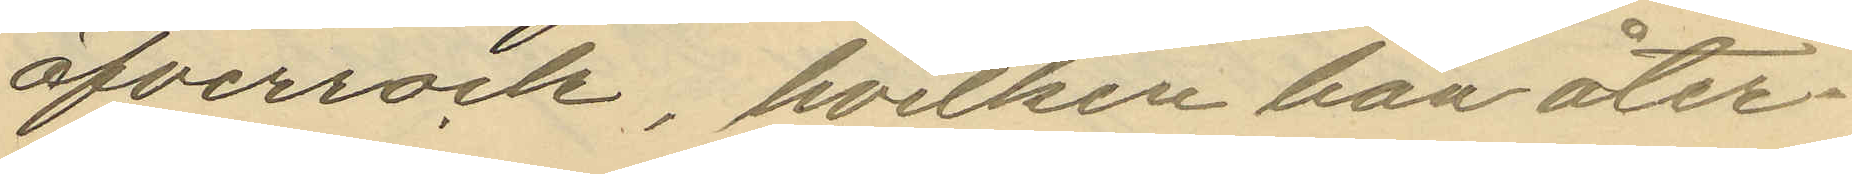öfverrock, hvilken han åter¬
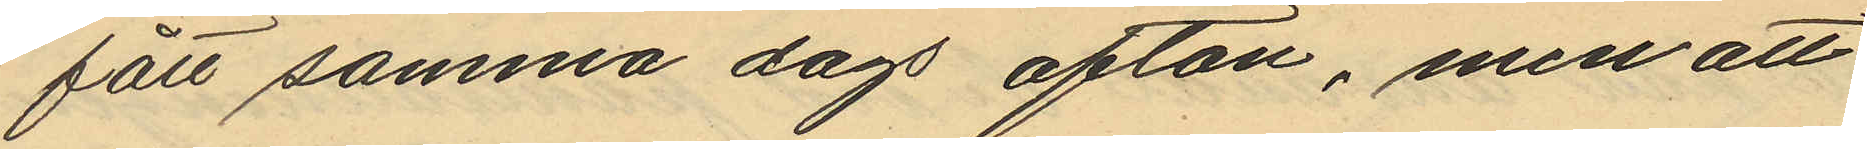fått samma dags afton, men att
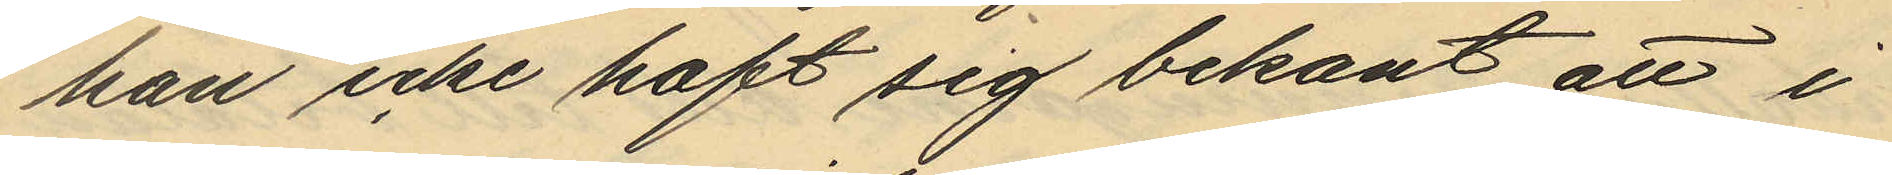han icke haft sig bekant att i
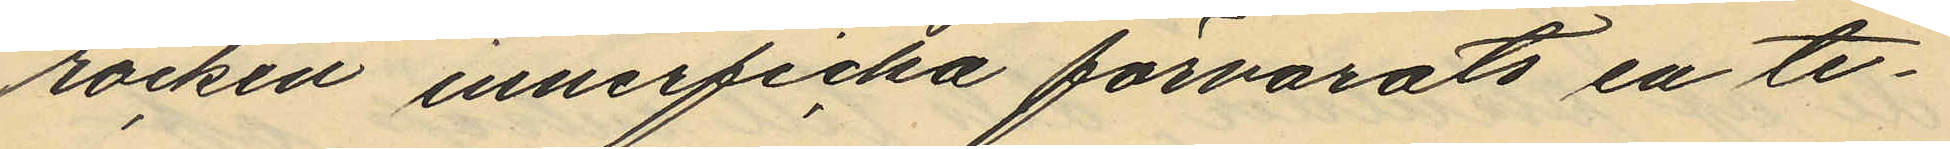rocken inneficka förvarats en te¬
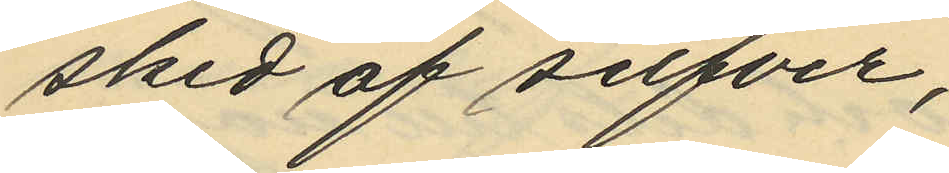sked af silfver,
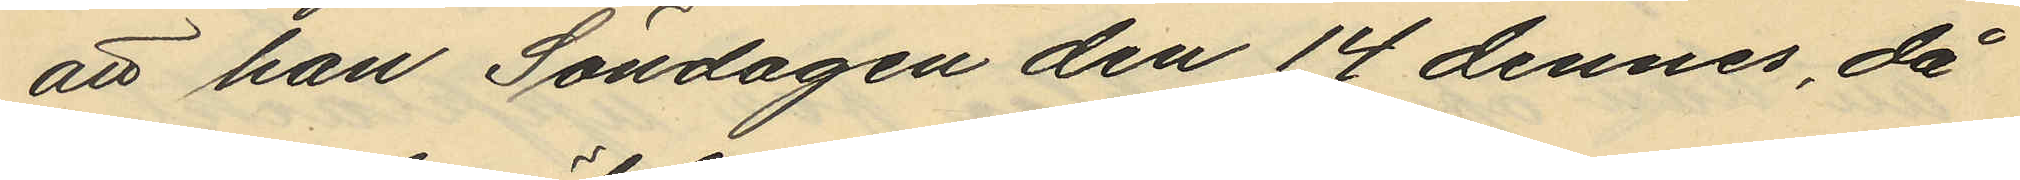att han Söndagen den 14 dennes, då
